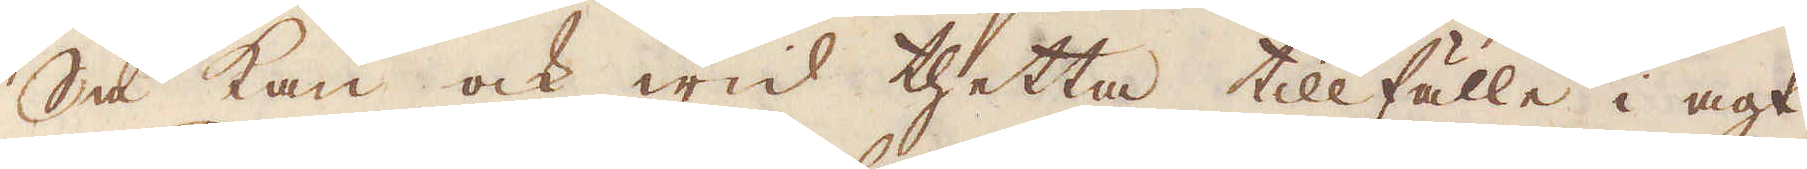Så kan ock wid thetta tillfälle i agt
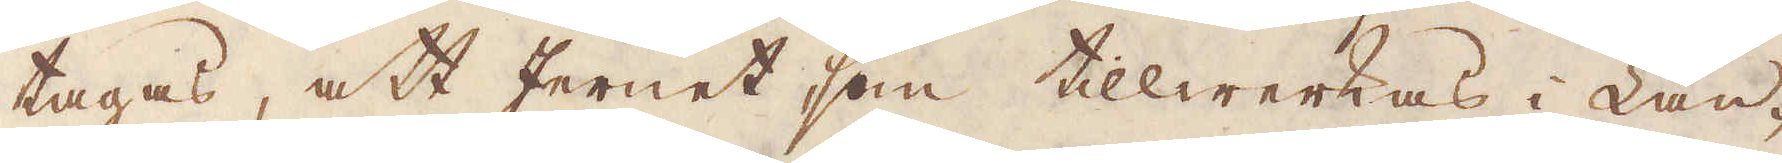tagas, att Jernet som tillwerkas i Lan-
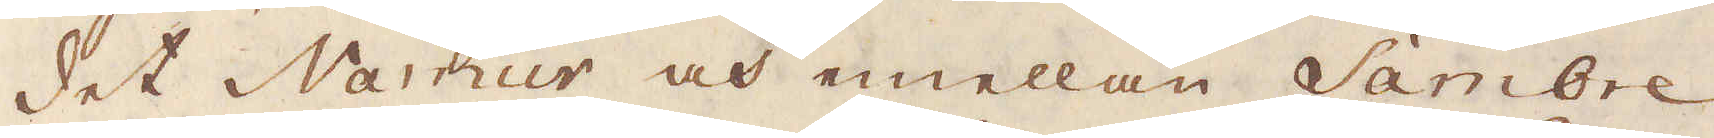det Namur och emellan Sambre
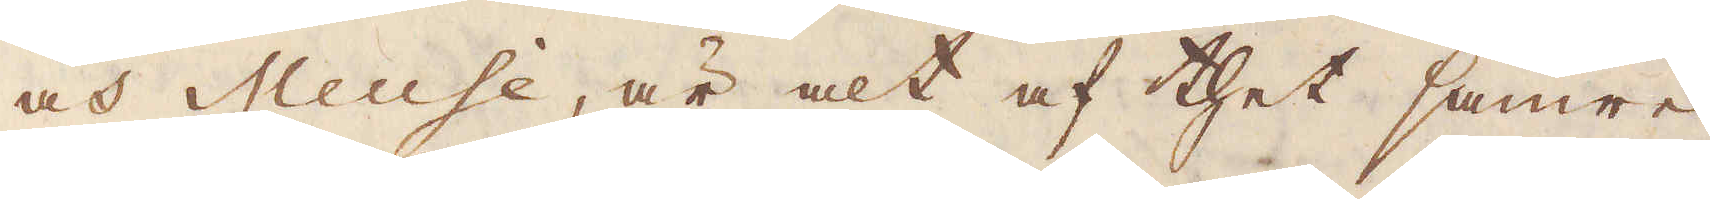och Meuse, är alt af thet sämre
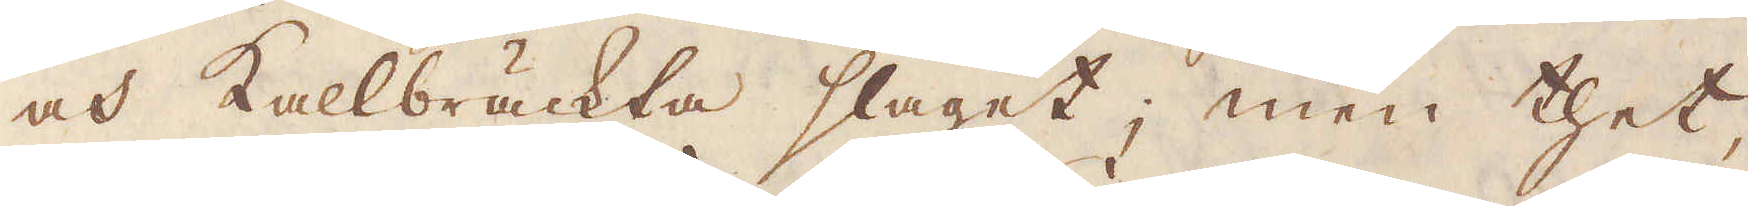och Kallbräckta slaget; men thet,
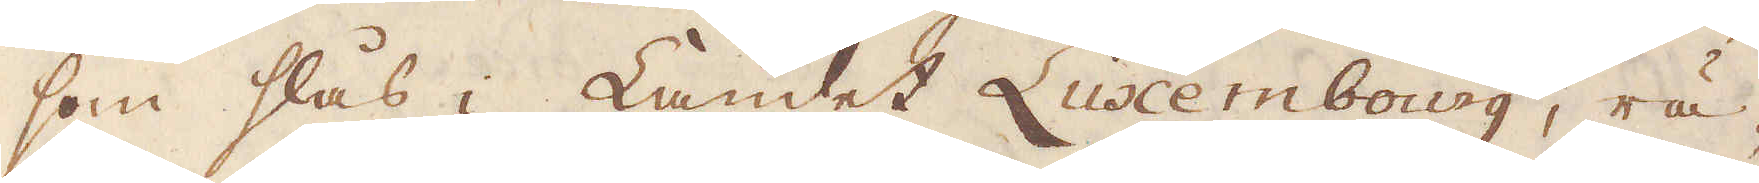som slås i Landet Luxembourg, rä-
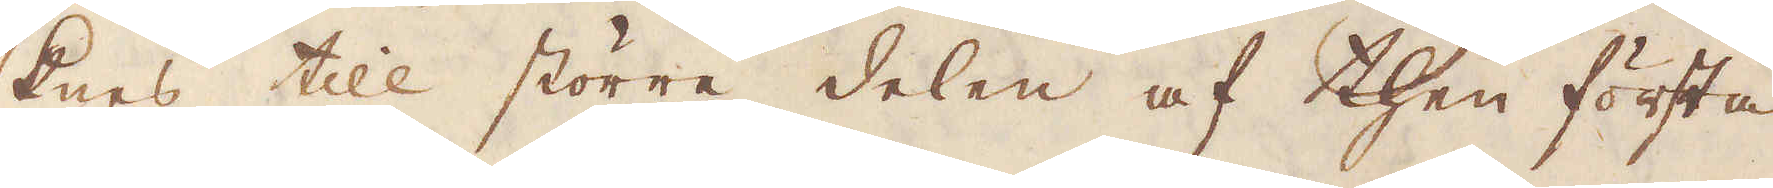knes till större delen af then första
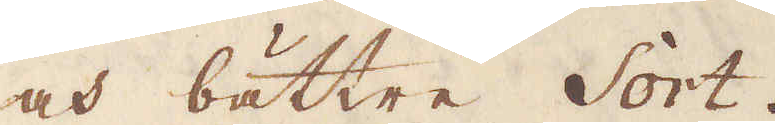och bättre Sort.
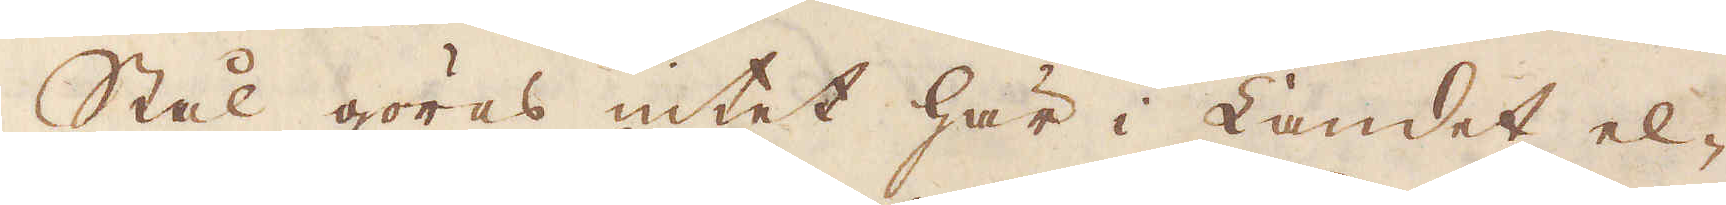Stål göres intet här i Landet el-
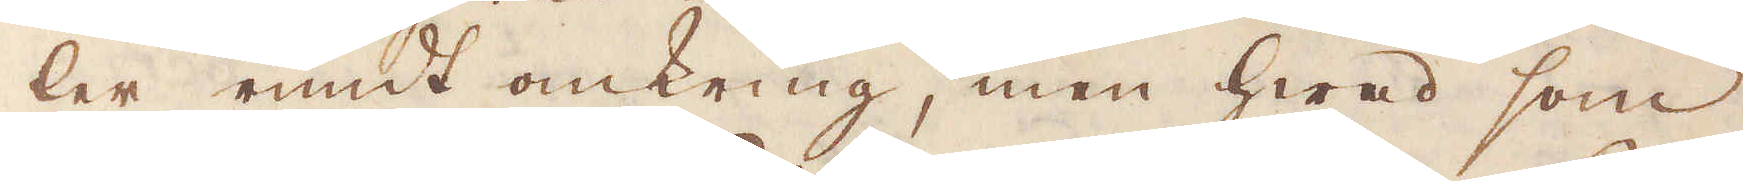ler rundt omkring, men hwad som
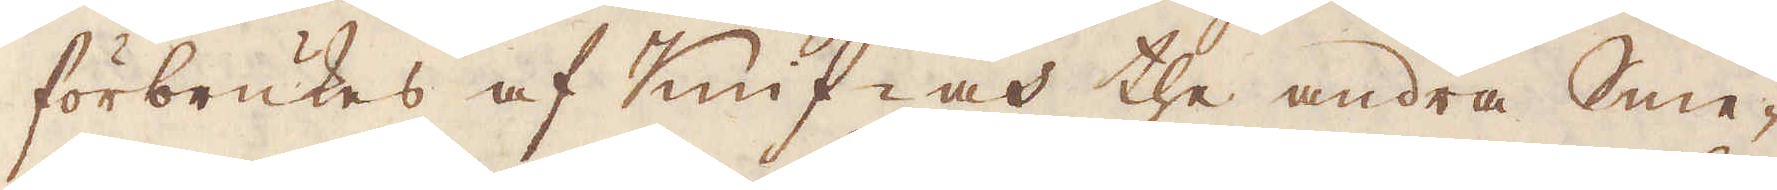förbrukes af Knifwar the andra Sme-
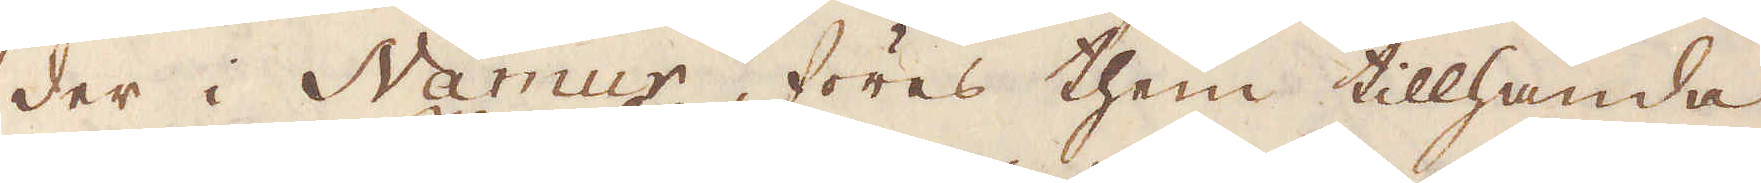der i Namur föres them tillhanda
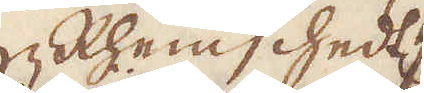Rhemchedt
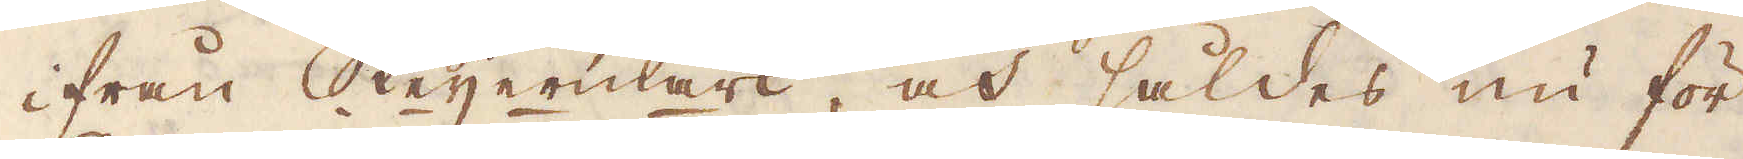ifrån Steijermark, och såldes nu för
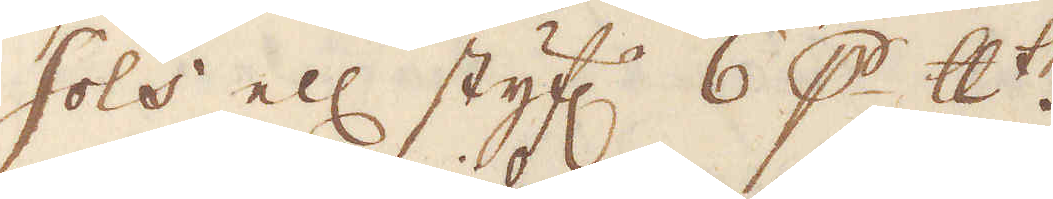Sols ell: styf:r 6 p skålpundet.
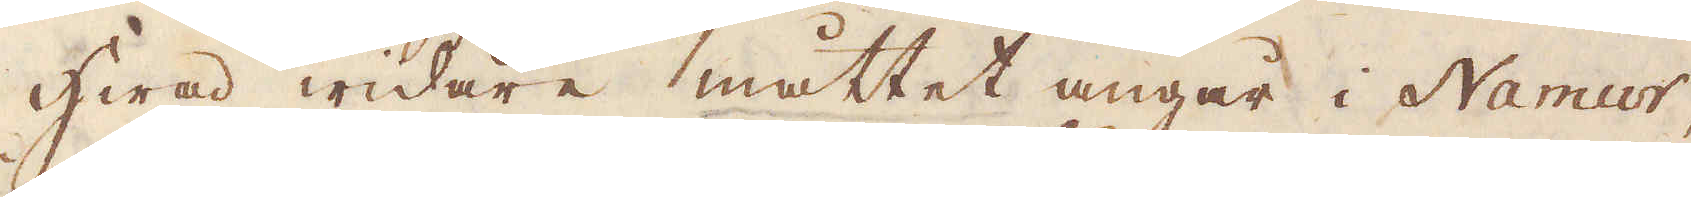Hwad widare måttet angår i Namur,
